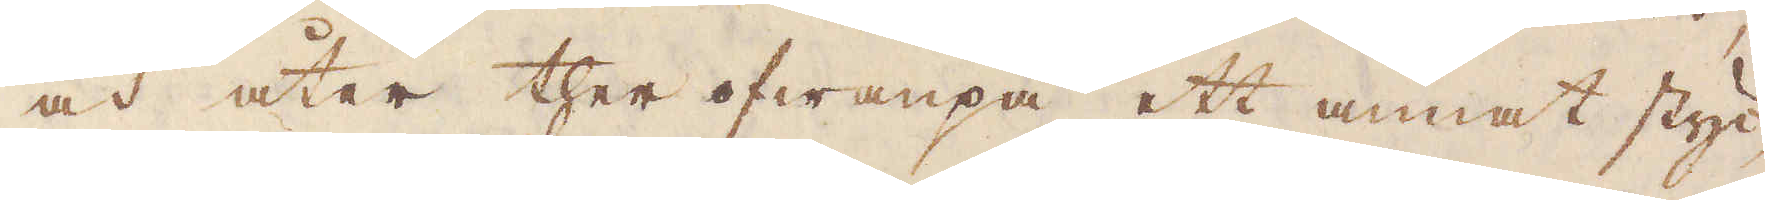och åter ther ofwanpå ett annat styc-
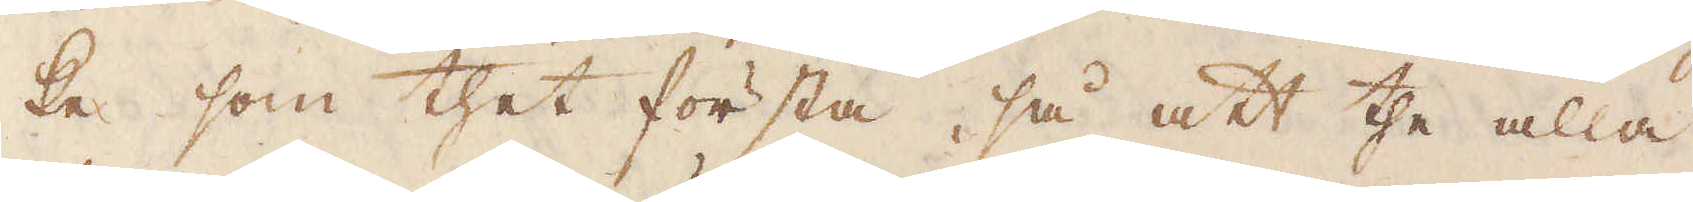ke som thet första, så att the alla
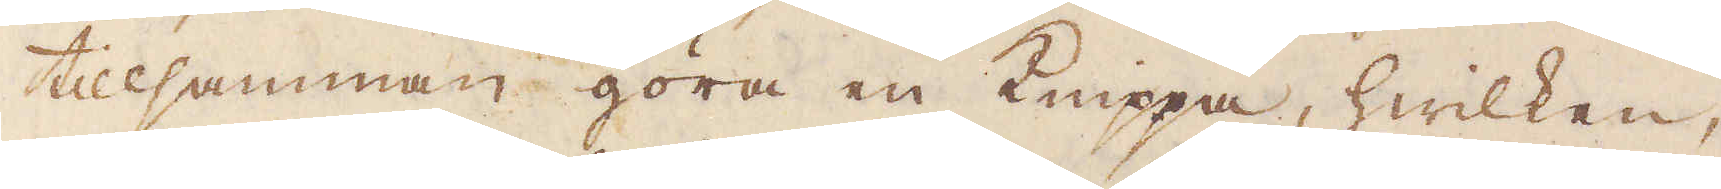tillsamman göra en Knippa, hwilken,
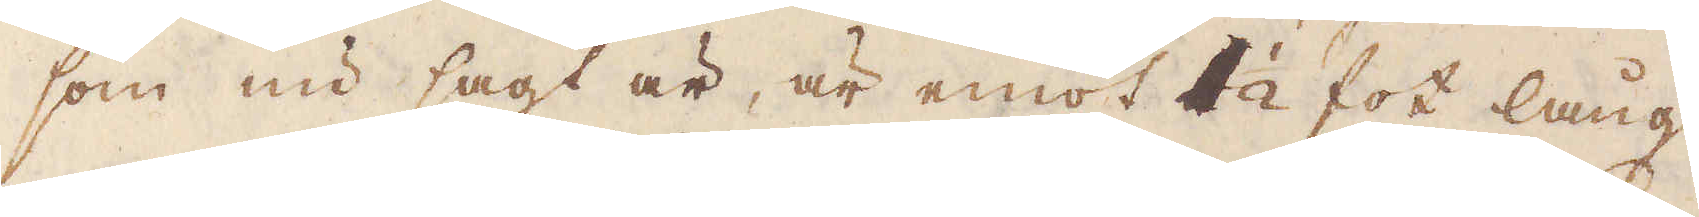som nu sagt är, är emot 1 1/2 fot lång
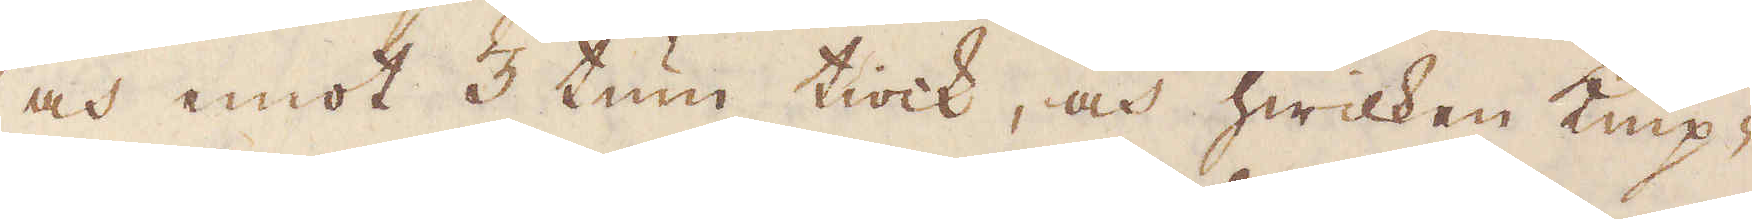och emot 3 tum tiock, och hwilken knip-
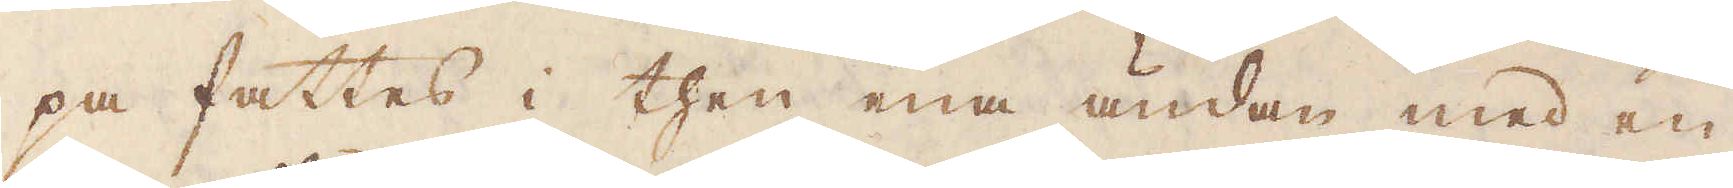pa fattes i then ena ändan med en
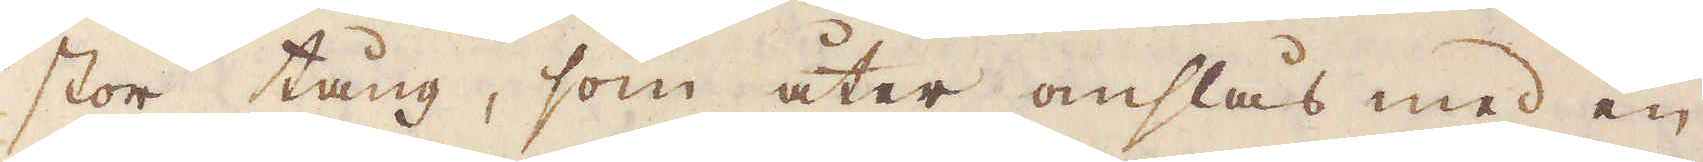stor tång, som åter omslås med en
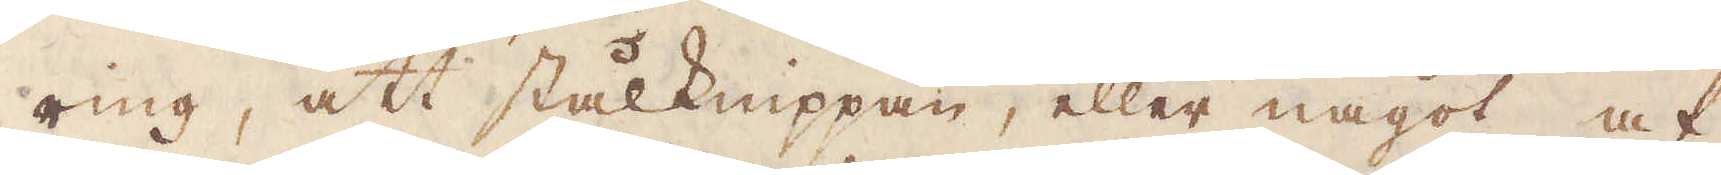ring, att stålknippan, eller något af
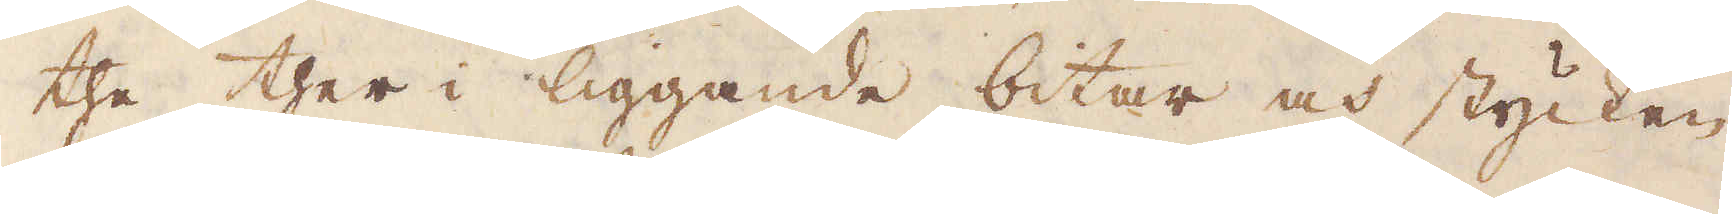the ther i liggande bitar och stycken
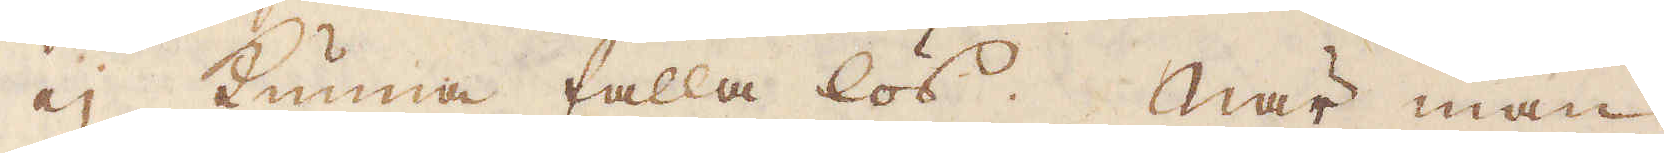ej kunna falla lös; När man
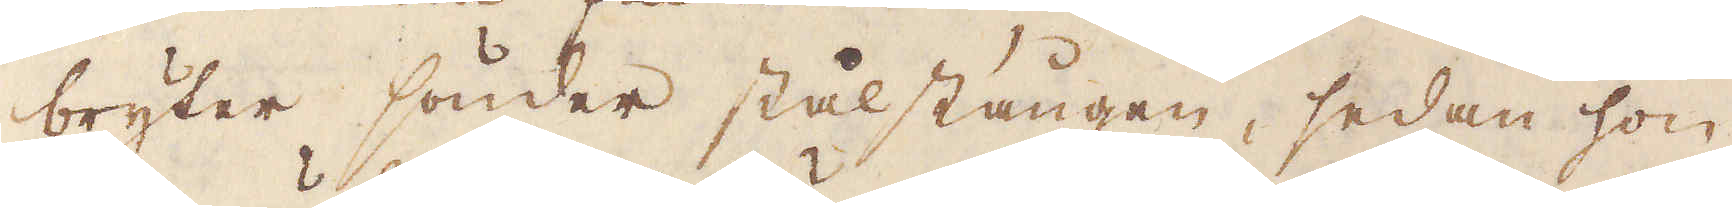bryter sönder stålstången, sedan hon
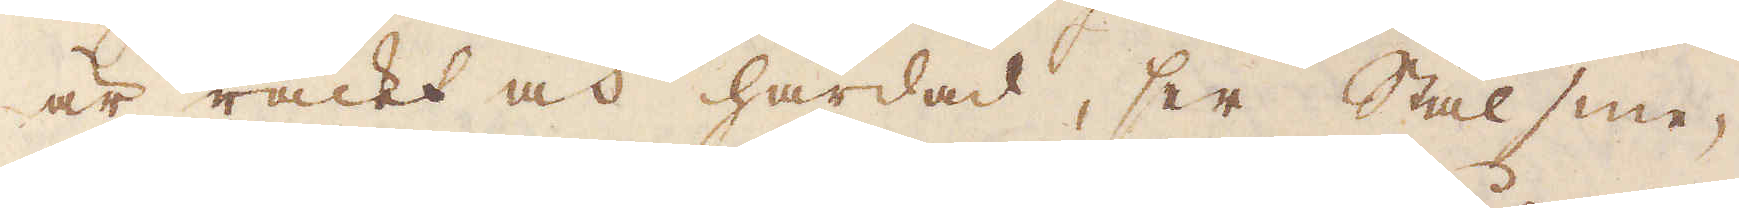är räckt och härdad, ser Stålsme-
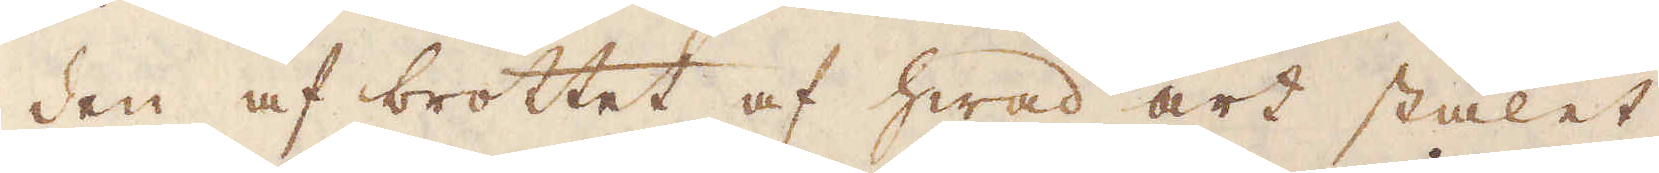den af brottet af hwad art stålet
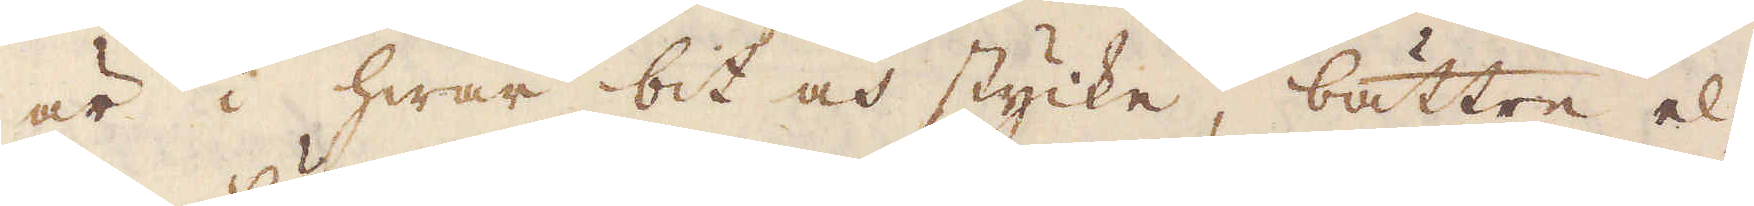är i hwar bit och stycke, bättre el-
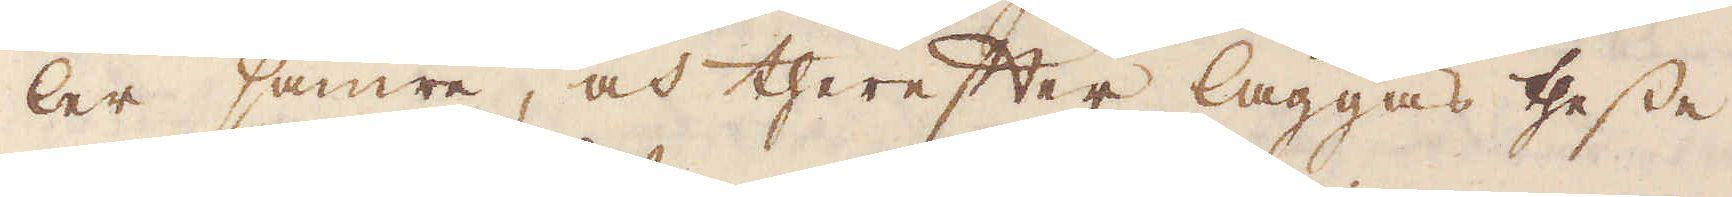ler sämre, och therefter läggas thesse
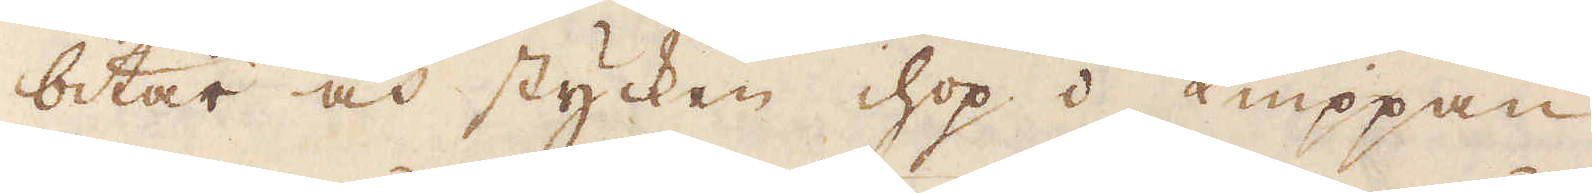bitar och stycken hop i Knippan,
